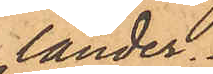lander.
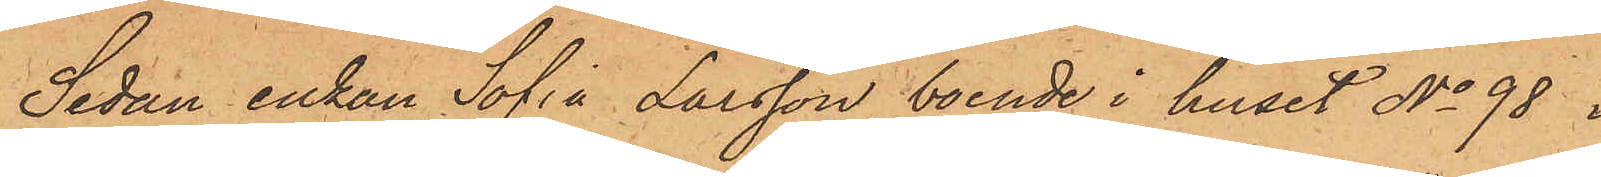Sedan enkan Sofia Larsson, boende i huset No 98 i
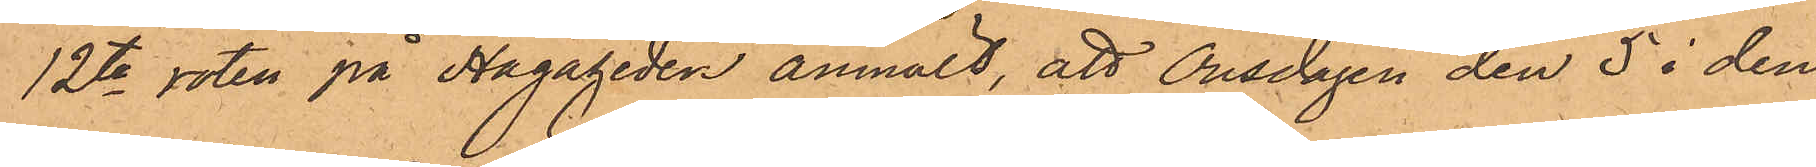12te roten på Hagaheden anmält, att Onsdagen den 5 i den¬
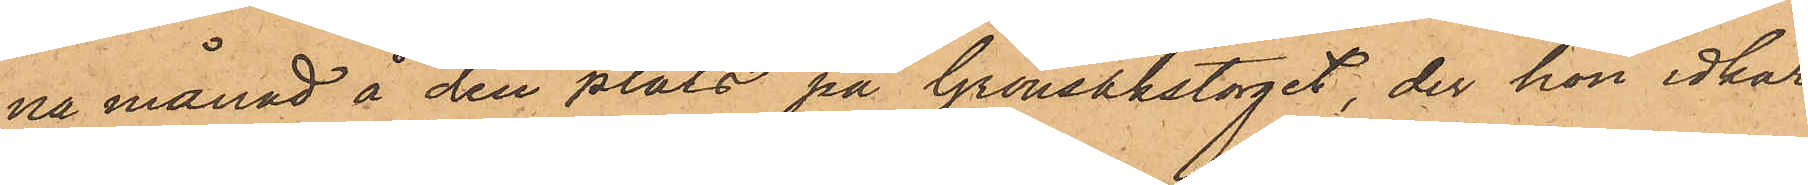na månad å den plats på Grönsakstorget, der hon idkar
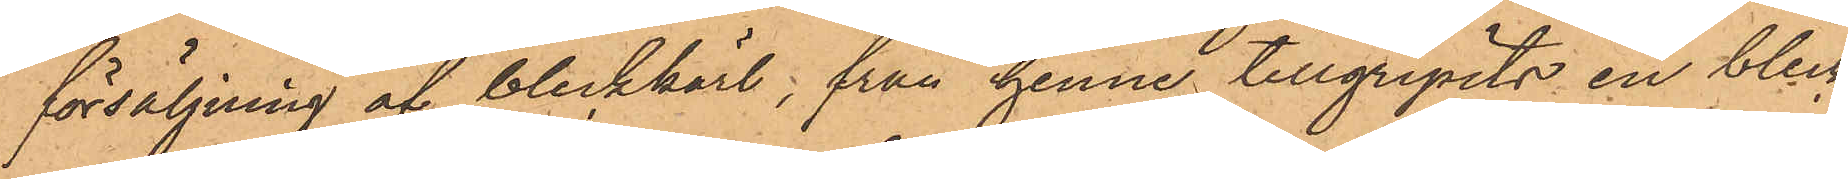försäljning af bleckkärl, från henne tillgripits en bleck¬
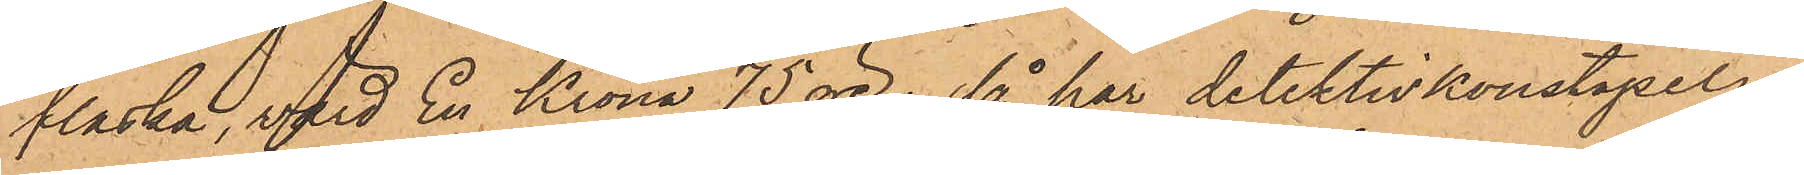flaska, verd En Krona 75 öre; så har detektivkonstapeln
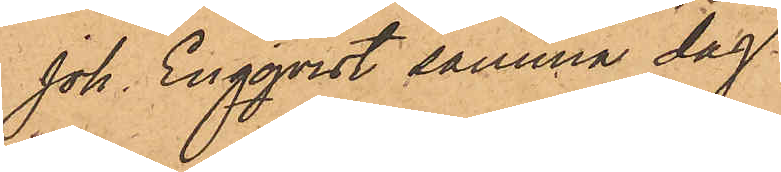Joh. Engqvist samma dag
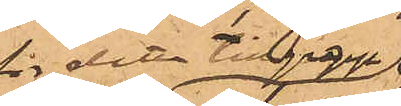för detta tillgrepp
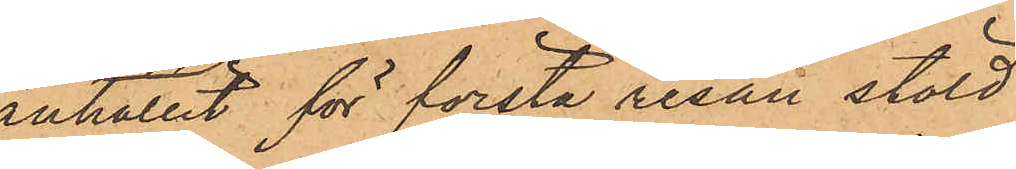anhållit för första resan stöld
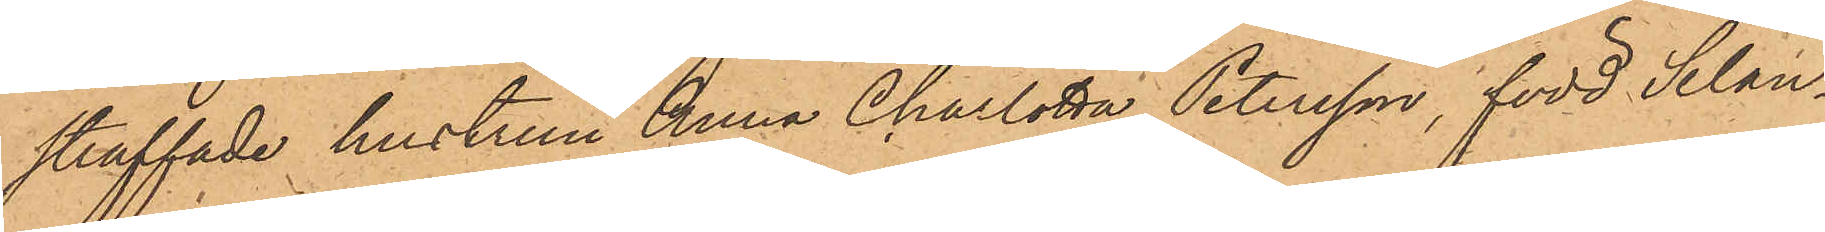straffade hustrun Anna Charlotta Petersson, född Selan¬
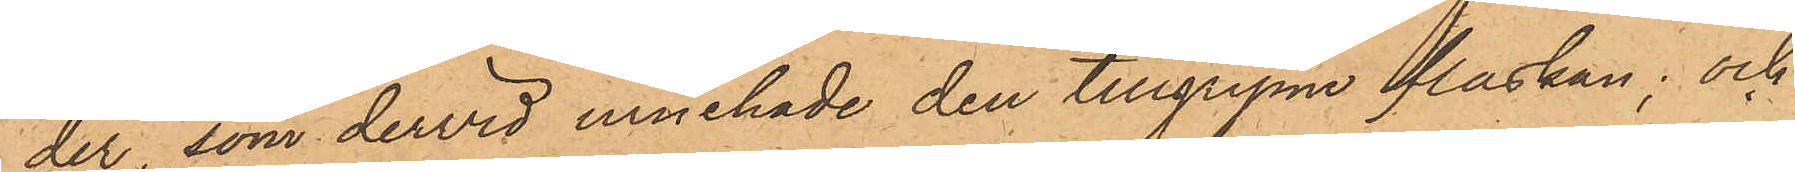der, som dervid innehade den tillgripne flaskan; och
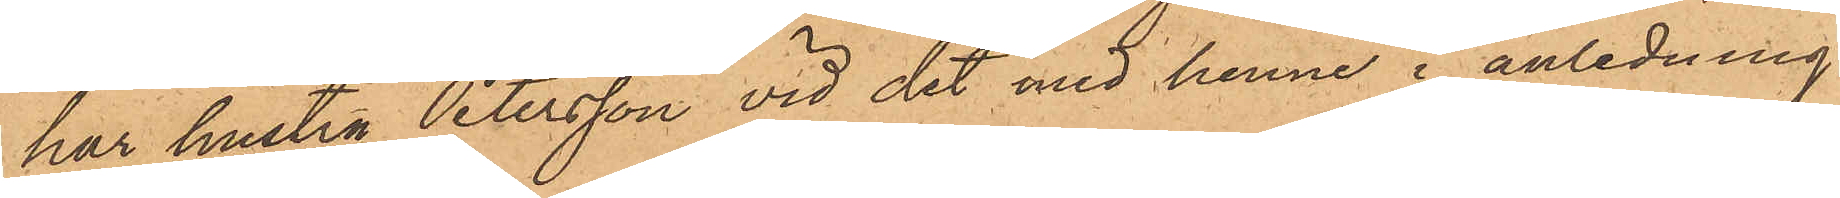har hustru Petersson vid det med henne i anledning
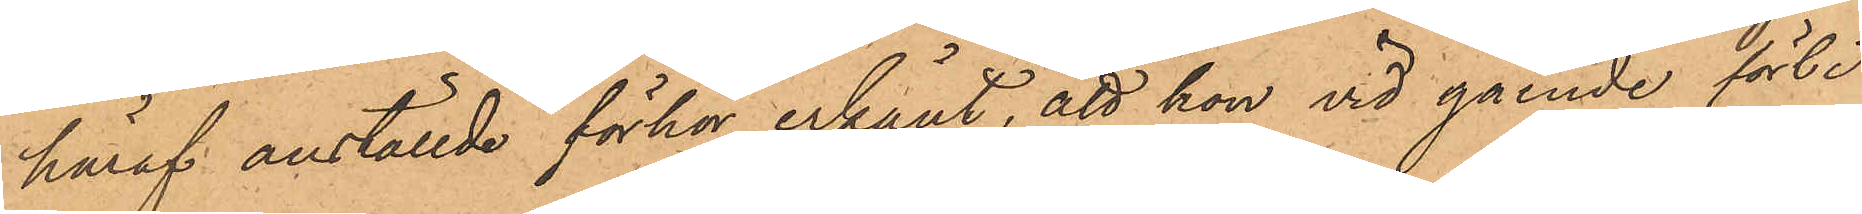häraf anställde förhör erkänt, att hon vid gående förbi
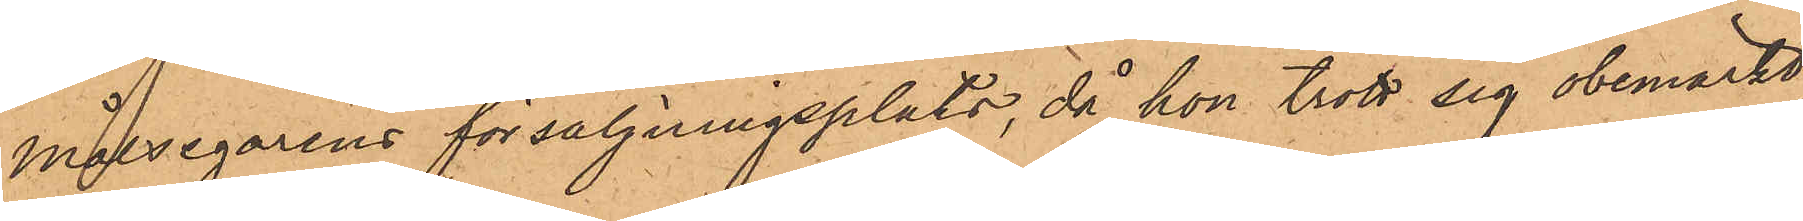målsegarens försäljningsplats, då hon trott sig obemärkt,
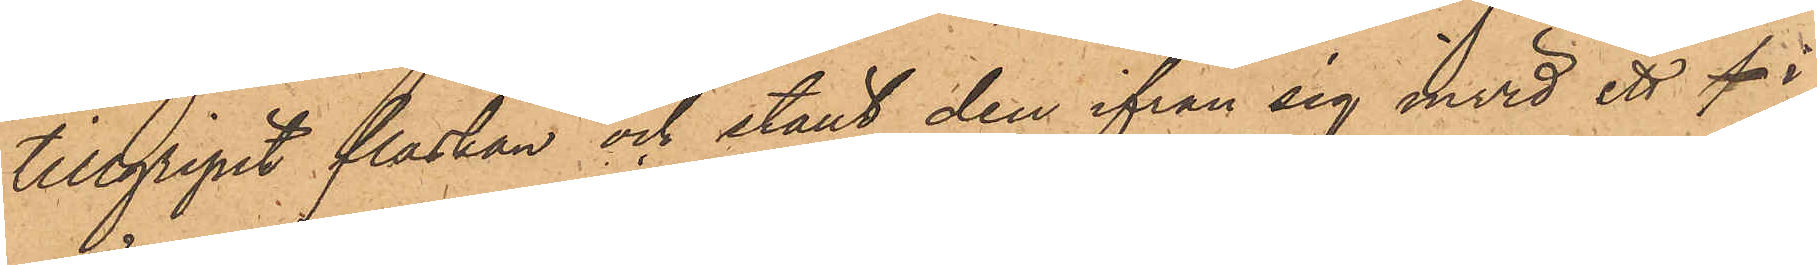tillgripit flaskan och ställt den ifrån sig invid ett i
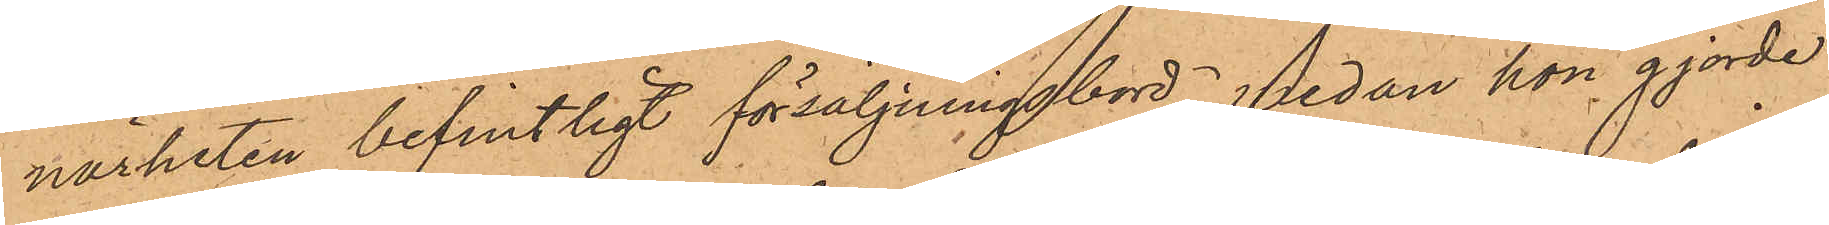närheten befintligt försäljningsbord, medan hon gjorde
